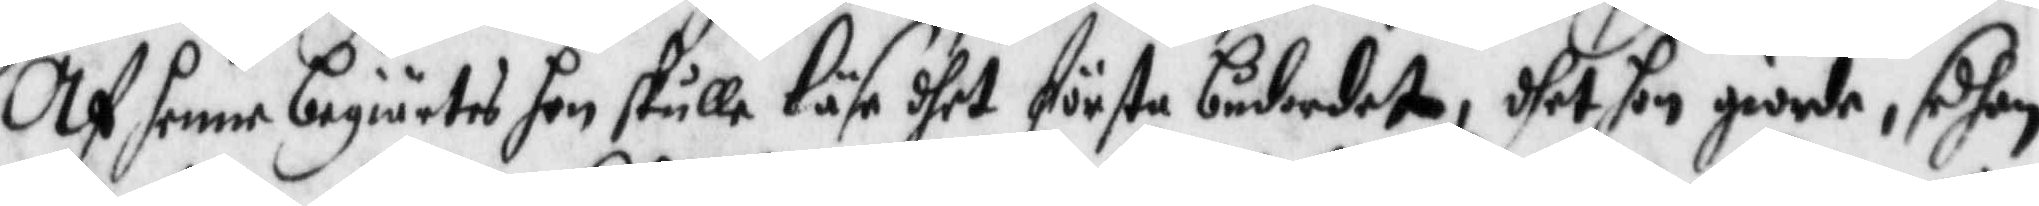Af henne begiärtes hon skulle läsa dhet första budordet, dhet hon giorde, sedhan
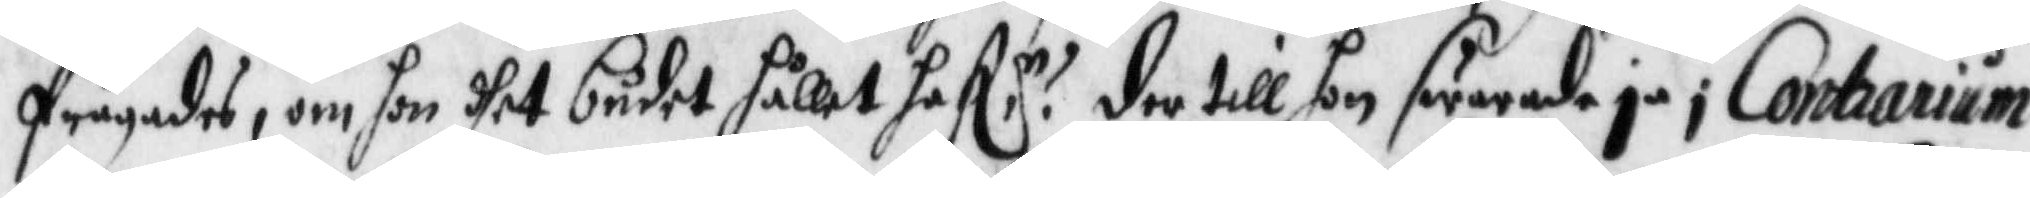frågades, om hon dhet budet hållet haf:r? der till hon swarade ja i Contrarium
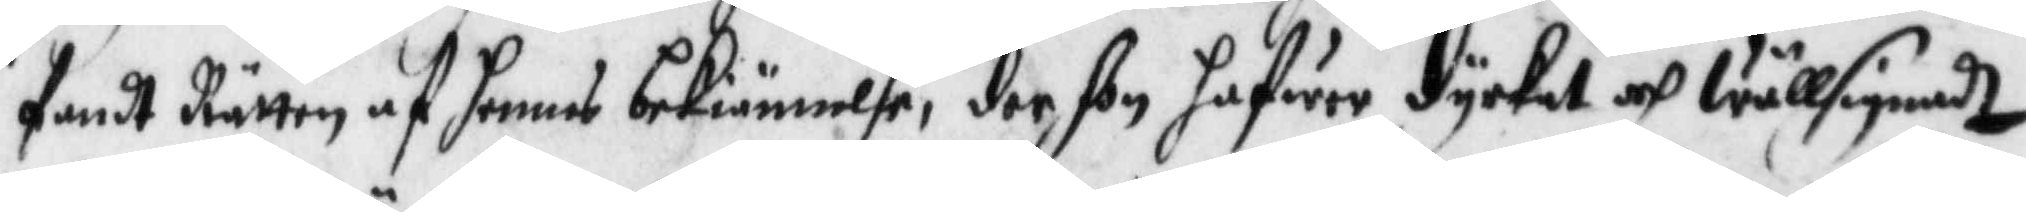fandt Rätten af hennes bekiännelse, der hon hafwer dyrkat och Wällsignadt
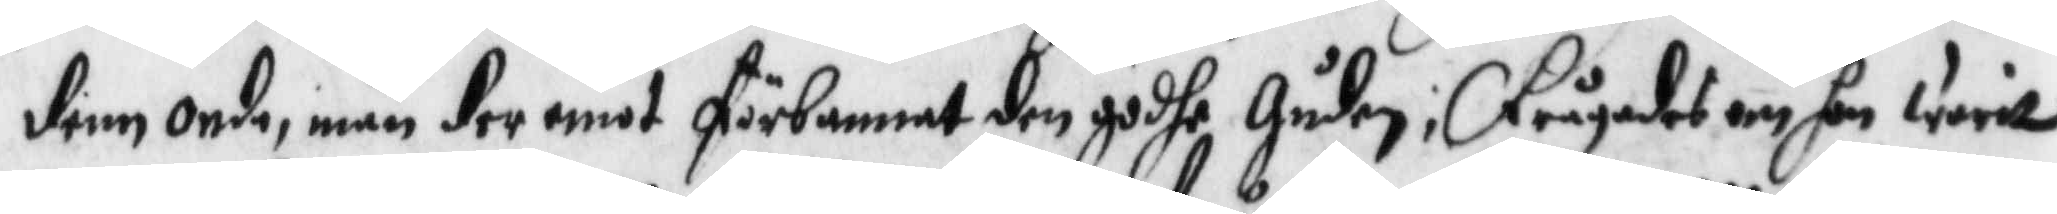denn onde, män der emot förbannat den godhe Gydhen; frågades om hon will
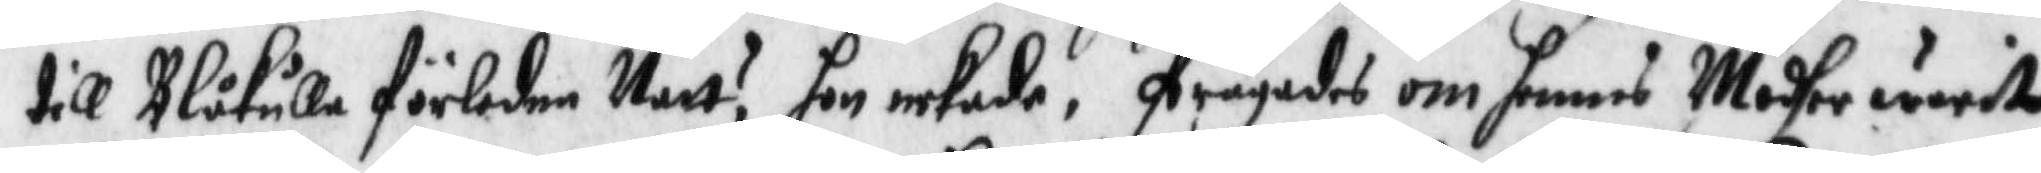till Blåkulla förledne Natt? hon nekade, frågades om hennen Modher wieste
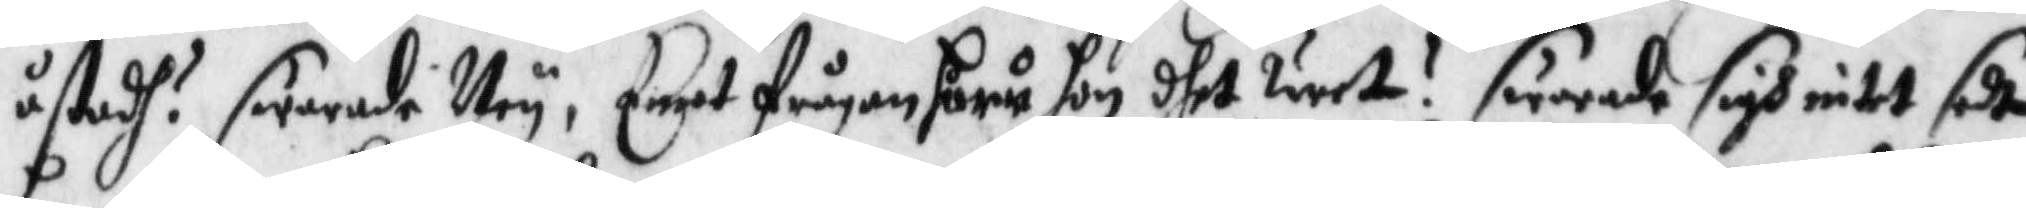åstadh? swarade Ney, Enat frågan huru hon dhet weet? swarade sigh intet sedt
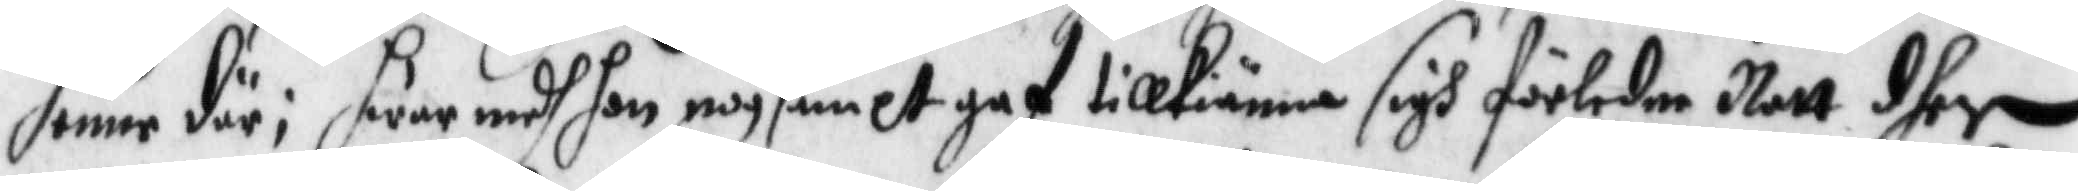henne där; hwar medh hon nogsamlt hgaf tillkiänna sigh förledne Natt dher
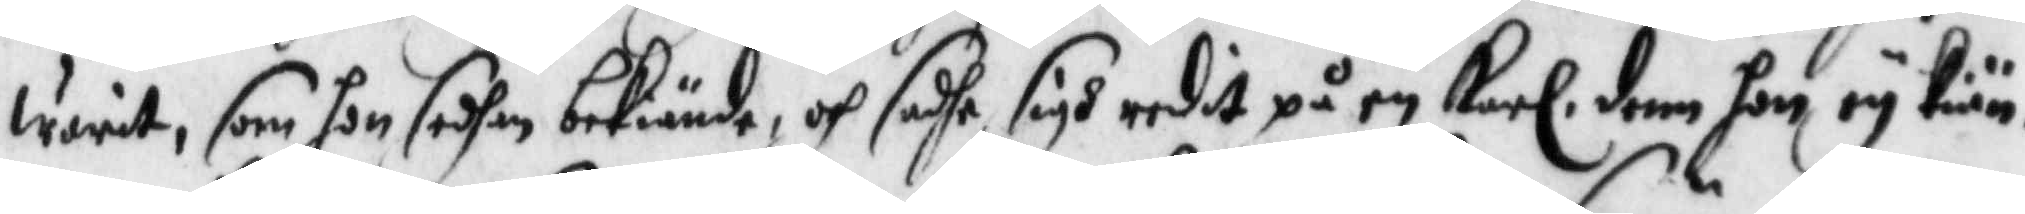warit, som hon sedhan bekinde, och sadhe sigh redit på en Karl, denn hon ey Kiän¬
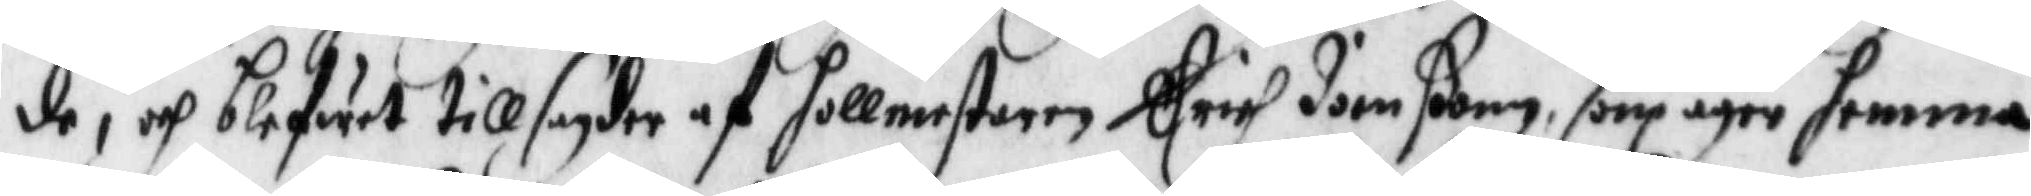de, och blifwet till sagder af hollmesteren Erich Jonßonn, som äger hemma
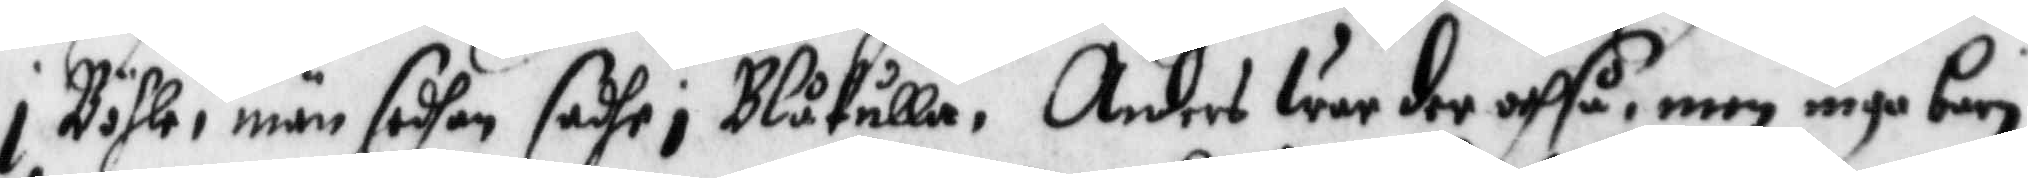i Böhle, män sedhan sadhe i Blåkulla, Anders War der ochså, men inga barn
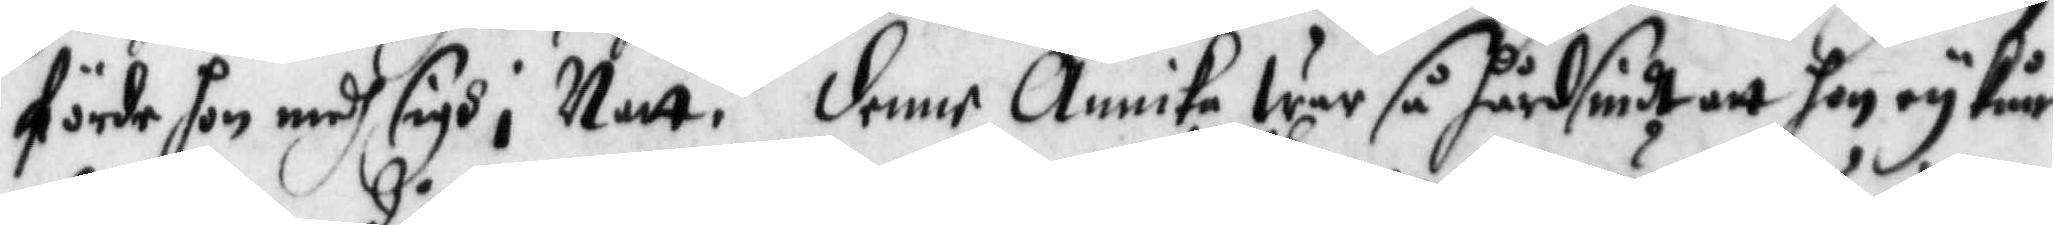förde hon medh sigh i Natt. denne Annika war så hårdsindt att hon ey kun¬
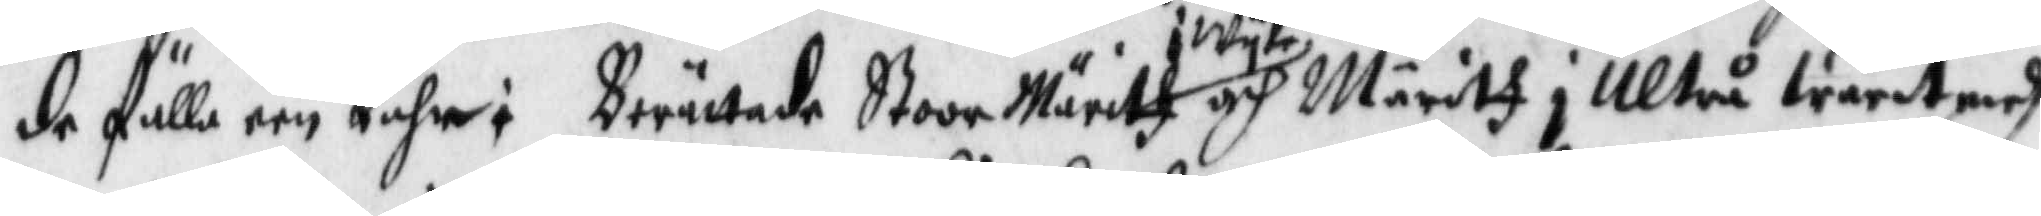de fälla een tåhr: Berättade Stoor Märitt i Wyk och Märitz i Ultrå warit medh
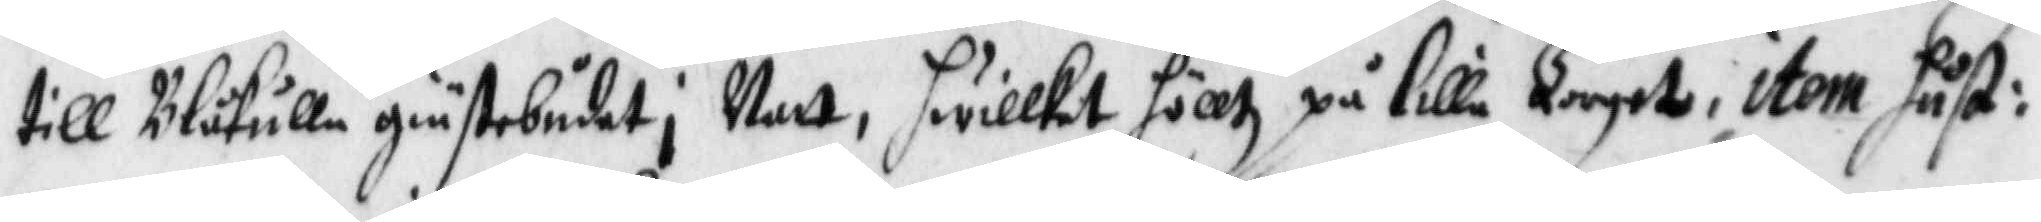till Blåkulla giästebudet i Natt, hwilket hölltz på lilla Torget, item hust:
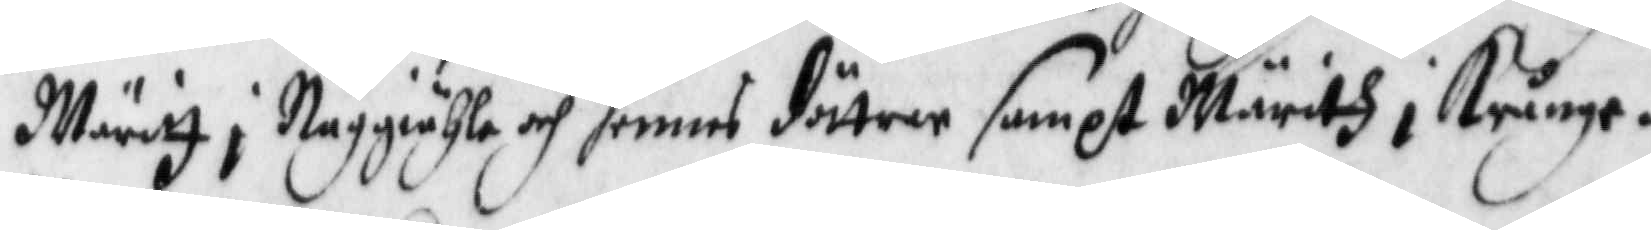Märitz i Naggiähle och hennes döttrer sampt Märitz i Krånge.
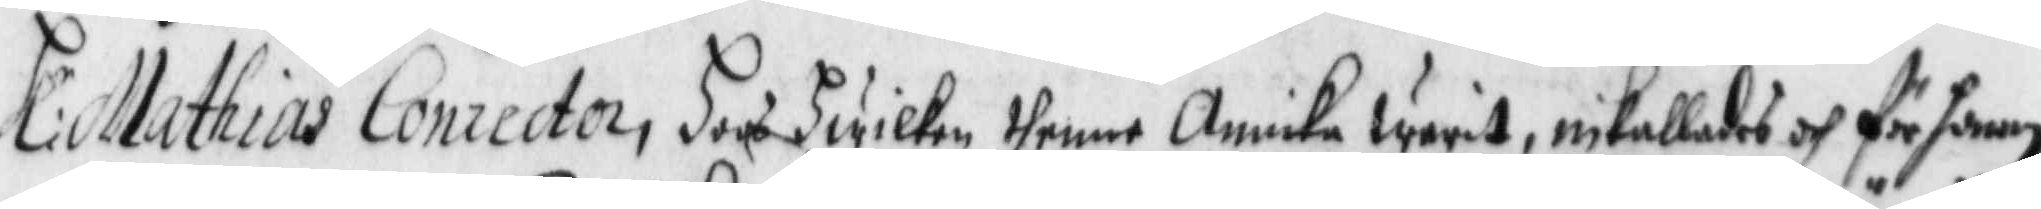Hl:r Mathias Conrector, hoos hwilken thenne Annika warit, inkallades och fr honom
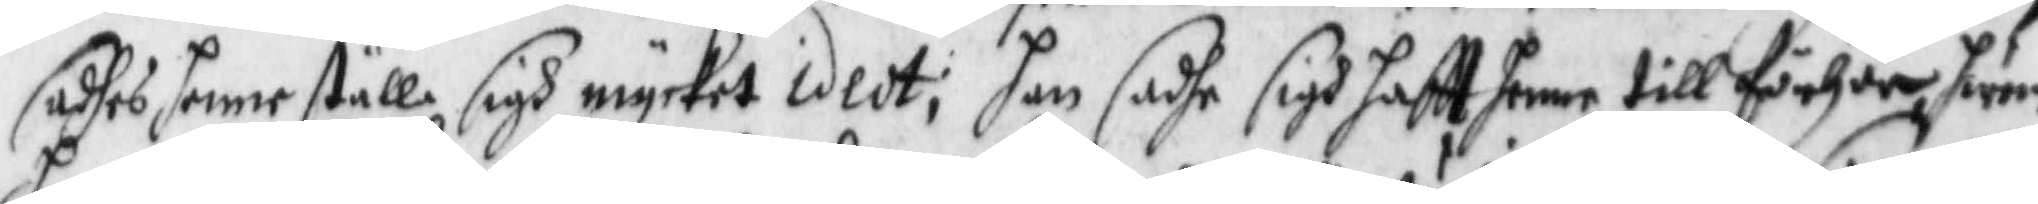sadhes henne ställe sigh mycket idedt; han sadhe sigh haftt henne till förhör hwem
